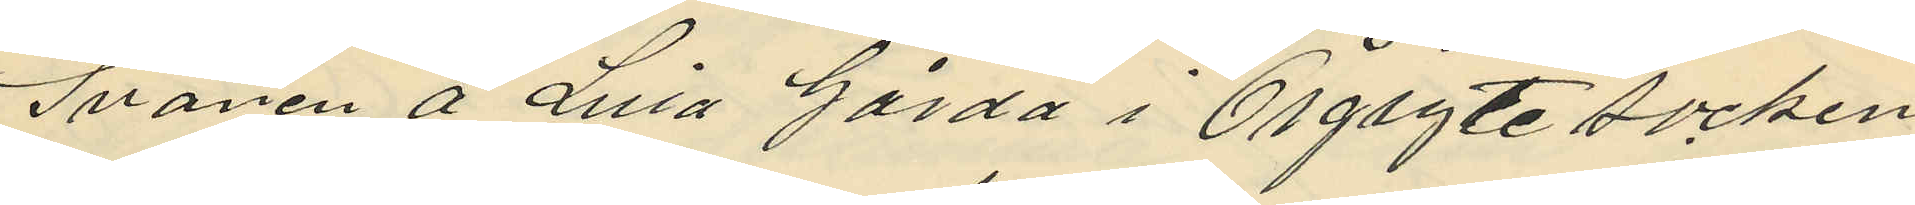Svanen å Lilla Gårda i Örgryte socken
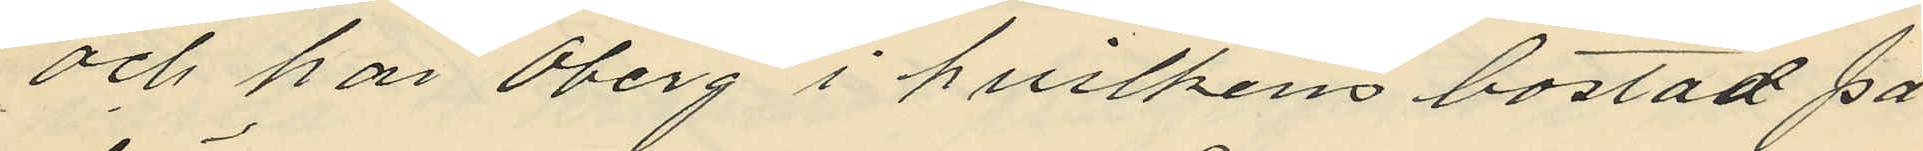och har Öberg i hvilkens bostad på
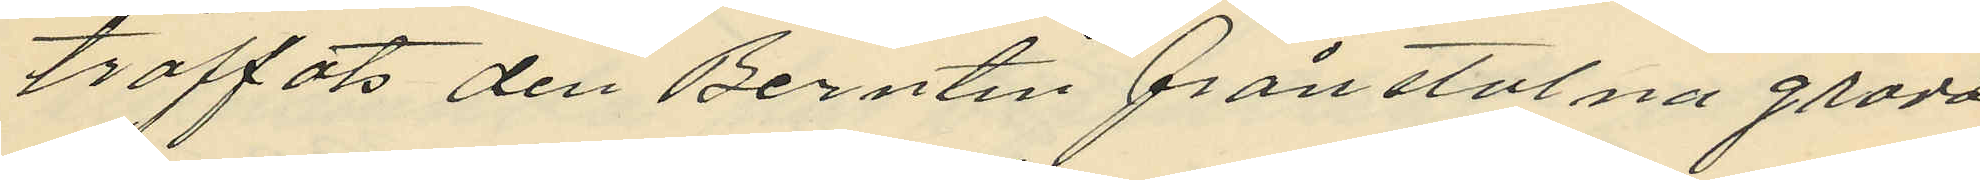träffats den Berntin frånstulna grädd
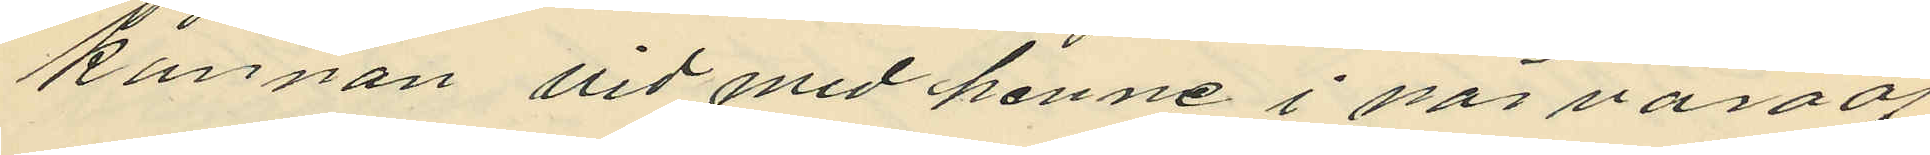kannan vid med henne i närvaro af
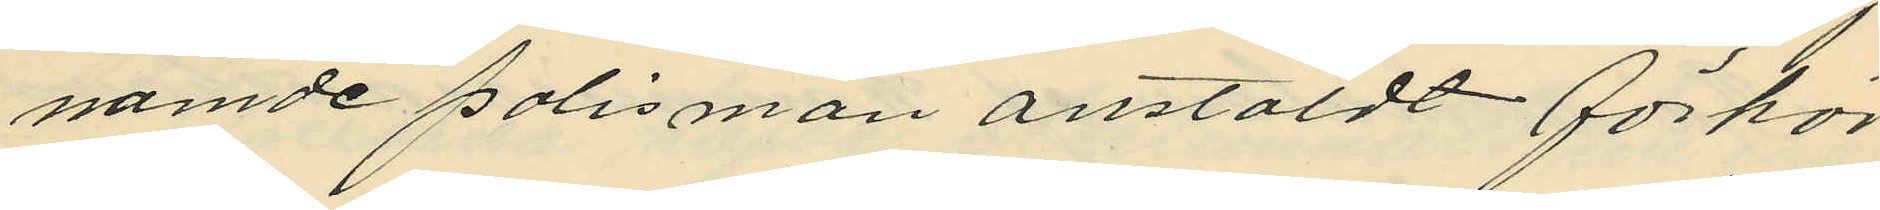namde polismän anstäldt förhör
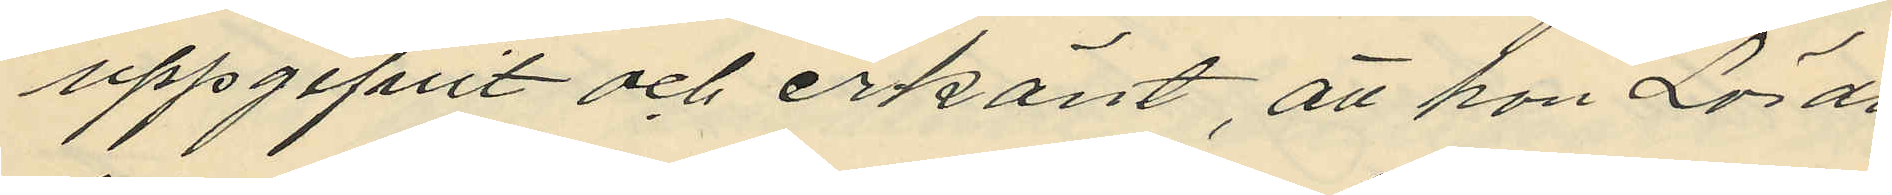uppgifvit och erkänt, att hon Lörda
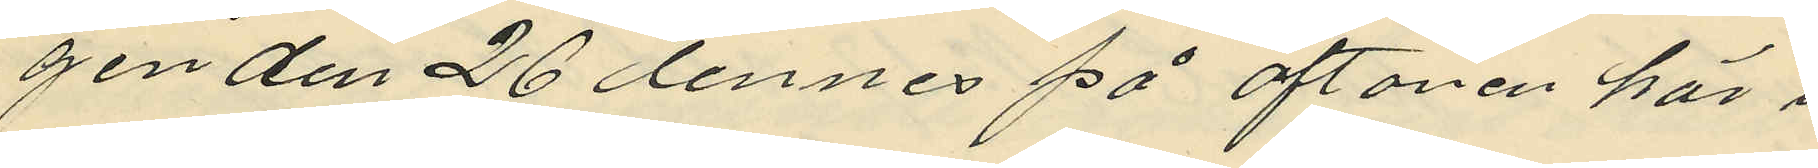gen den 26 dennes på aftonen här i
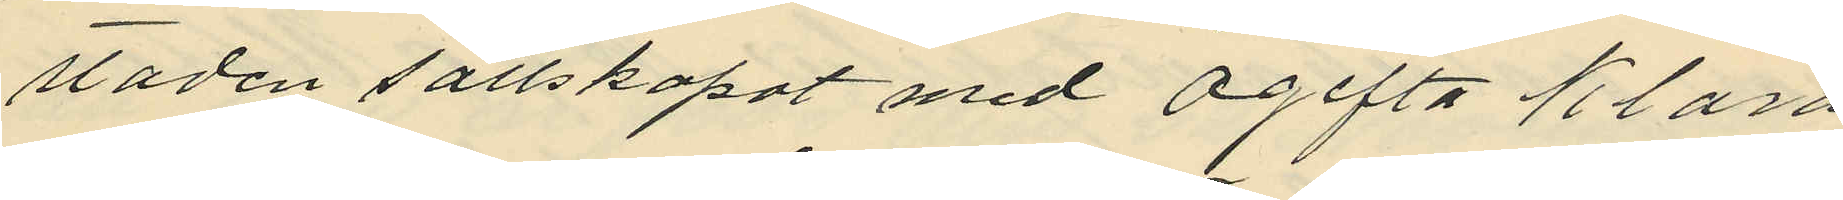staden sällskapat med Ogifta Klara
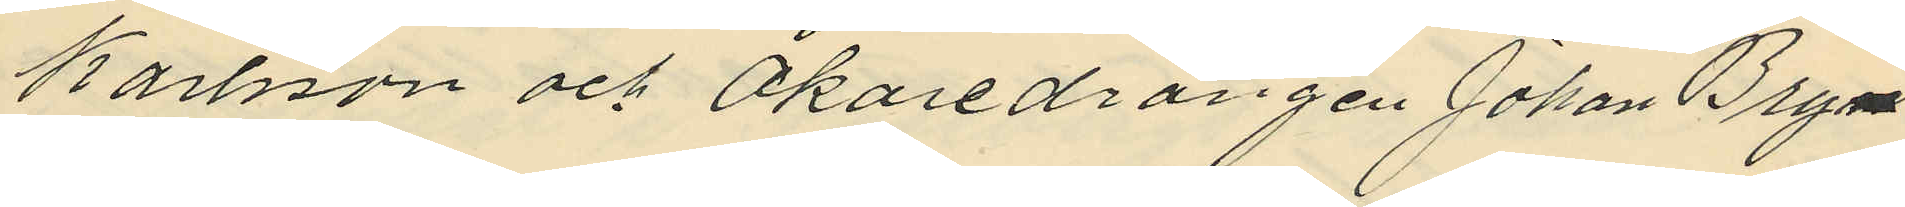Karlsson och Åkaredrängen Johan Bryn¬
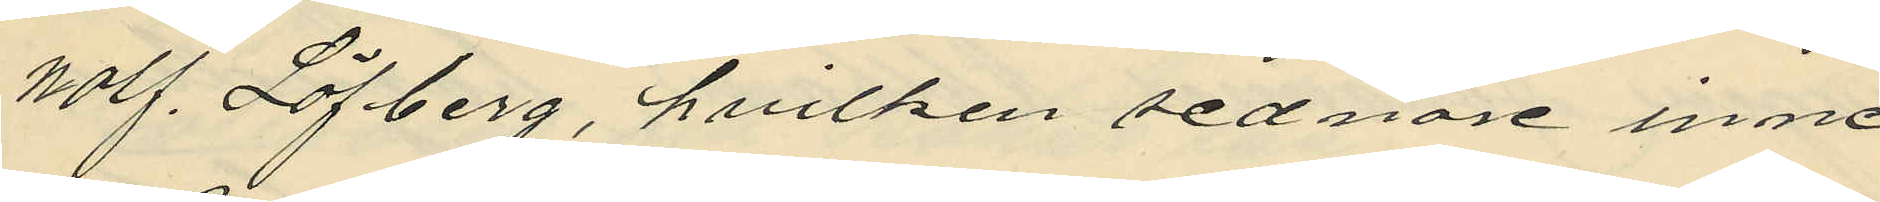nolf Löfberg, hvilken sednare inne
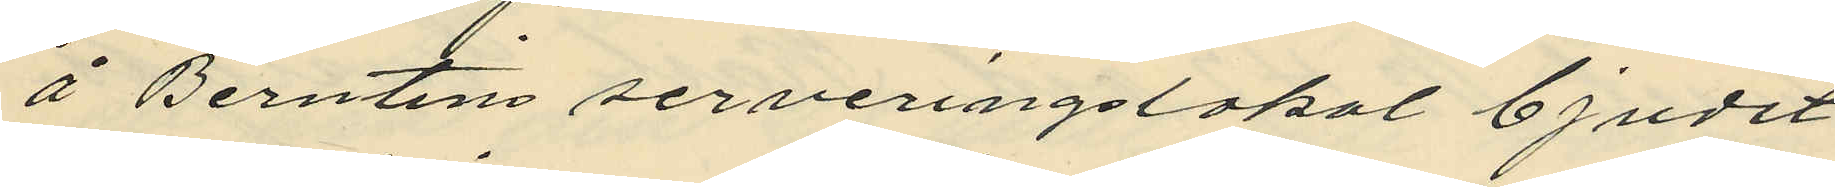å Berntins serveringslokal bjudit
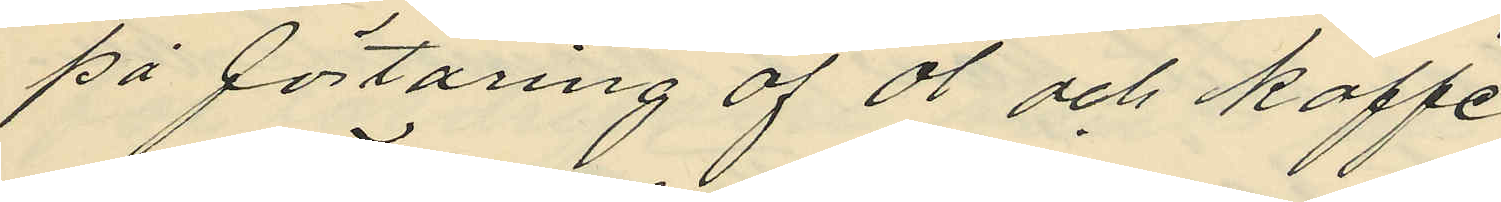på förtäring af öl och kaffe,
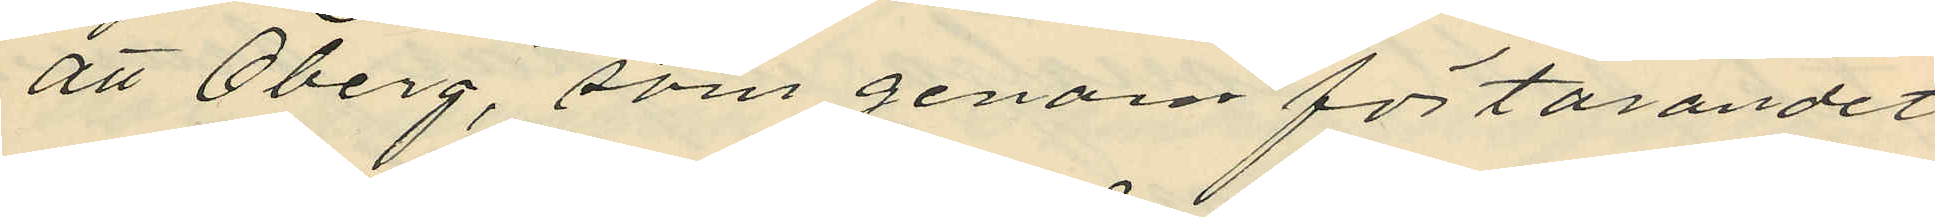att Öberg, som genom förtärandet
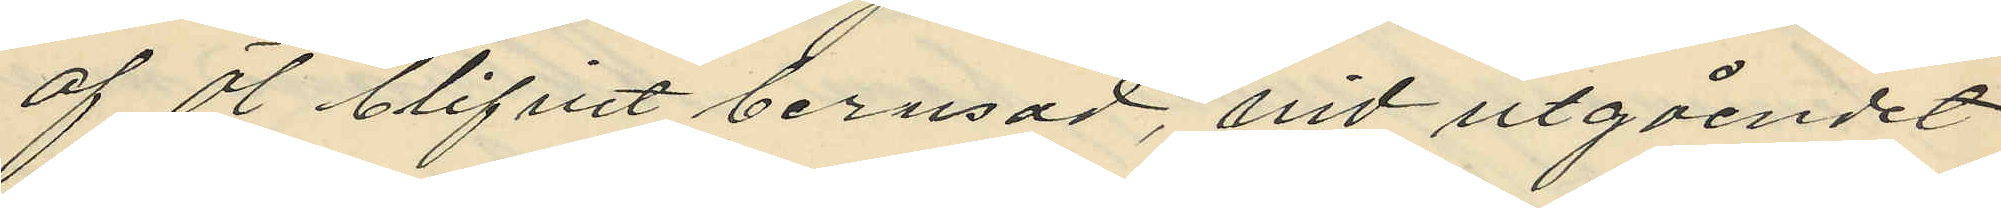af öl blifvit berusad, vid utgåendet
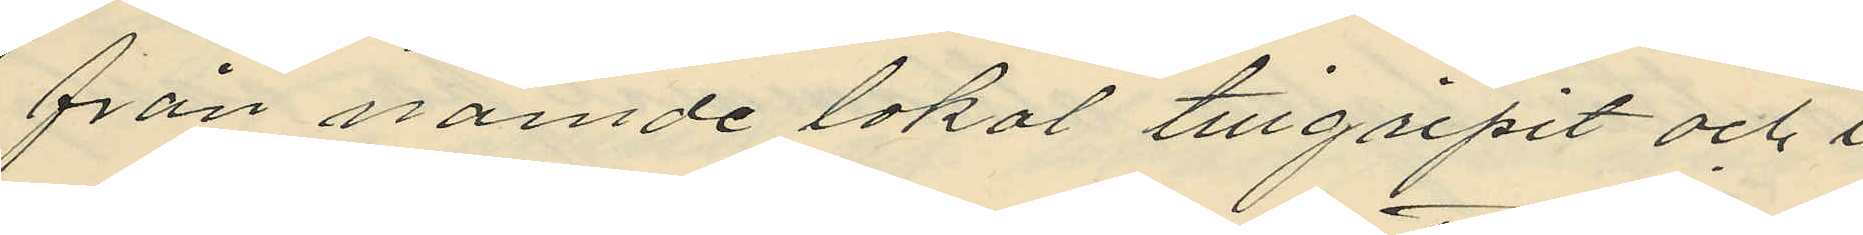från nämde lokal tillgripit och i
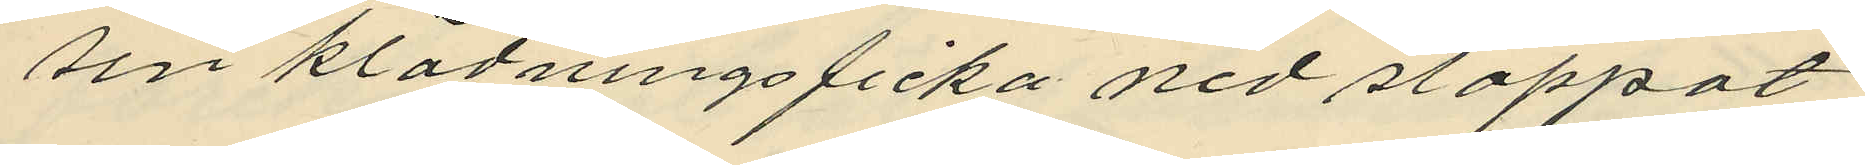sin klädningsficka nedstoppat
